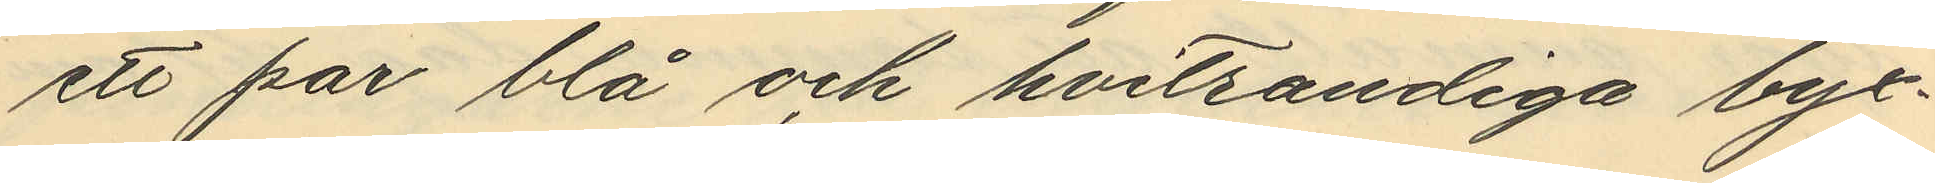ett par blå och hvitrandiga byx¬
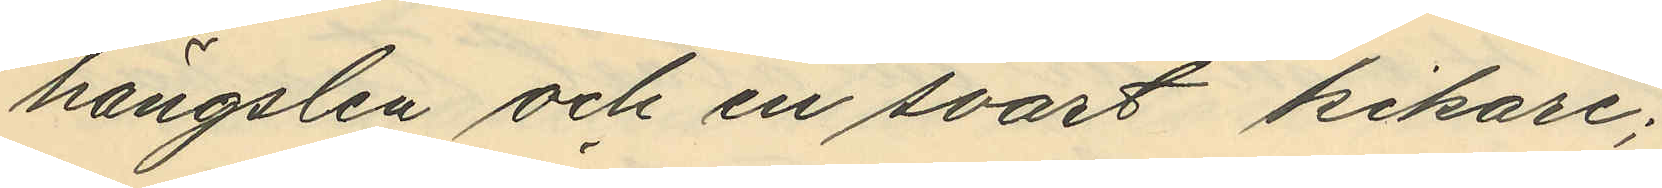hängslen och en svart kikare;
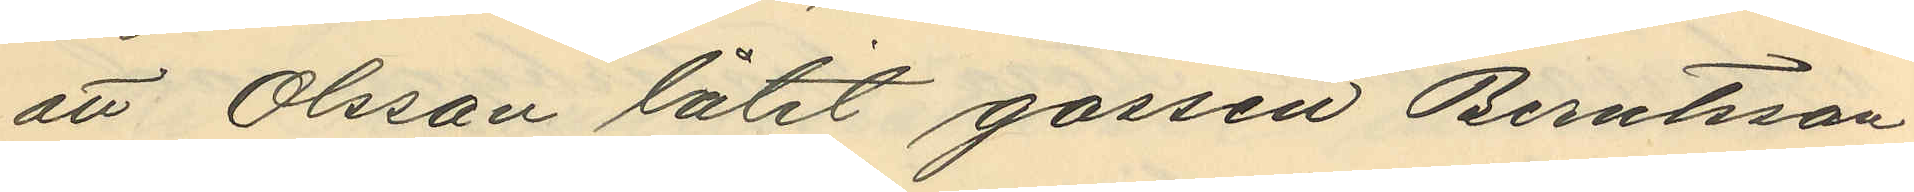att Olsson låtit gossen Berntsson
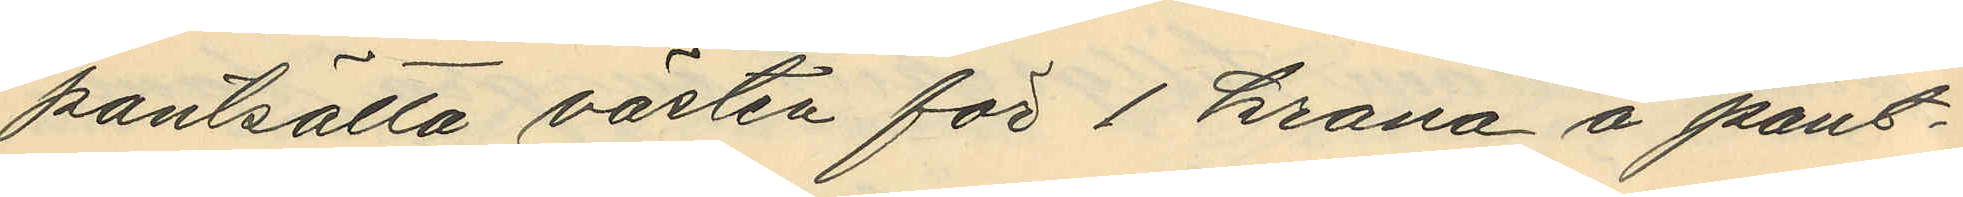pantsätta västen för 1 krona å pant¬
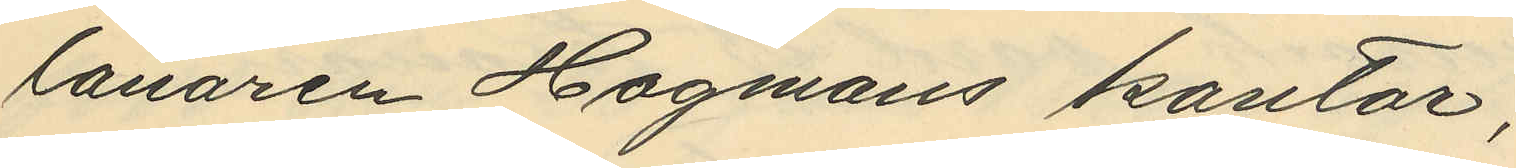lånaren Hagmans kontor,
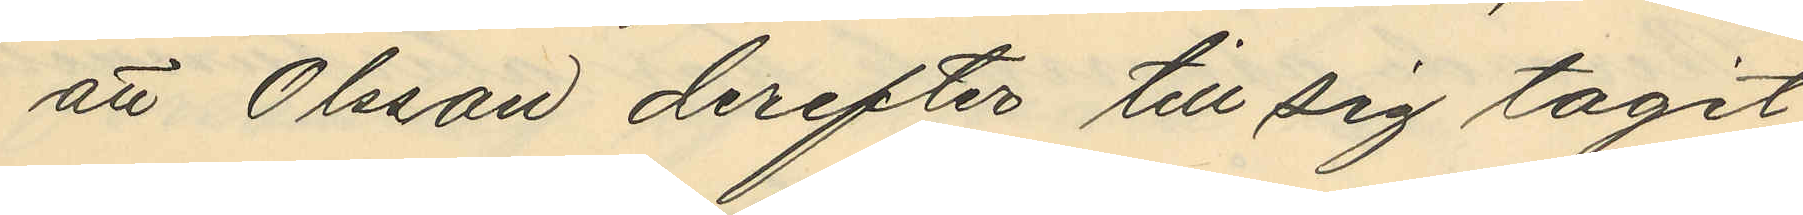att Olsson derefter till sig tagit
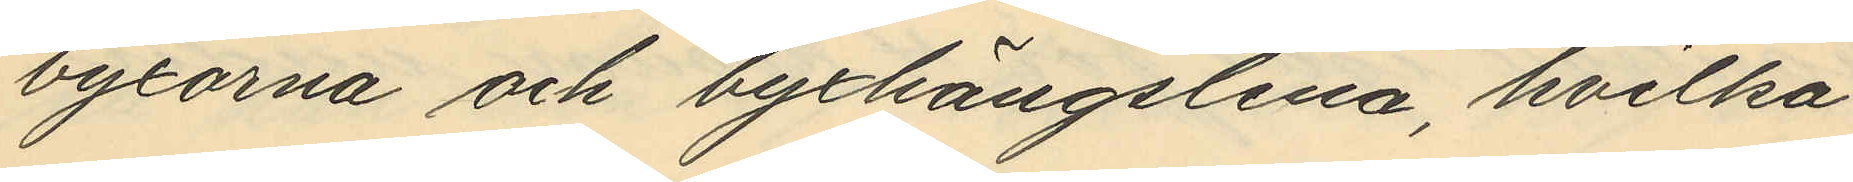byxorna och byxhängslena, hvilka
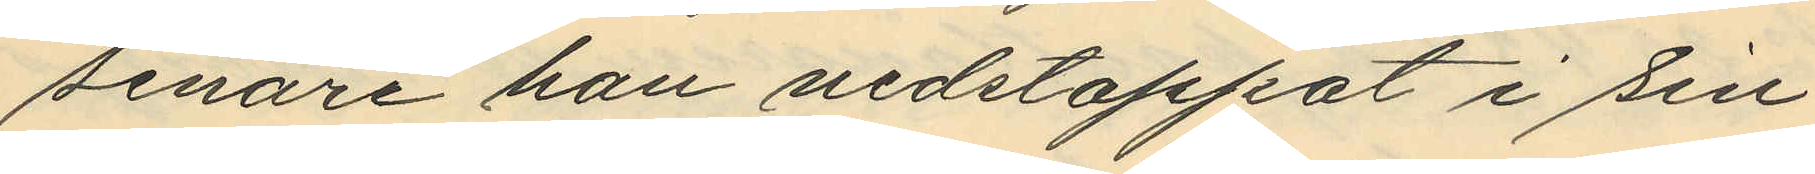senare han nedstoppat i sin
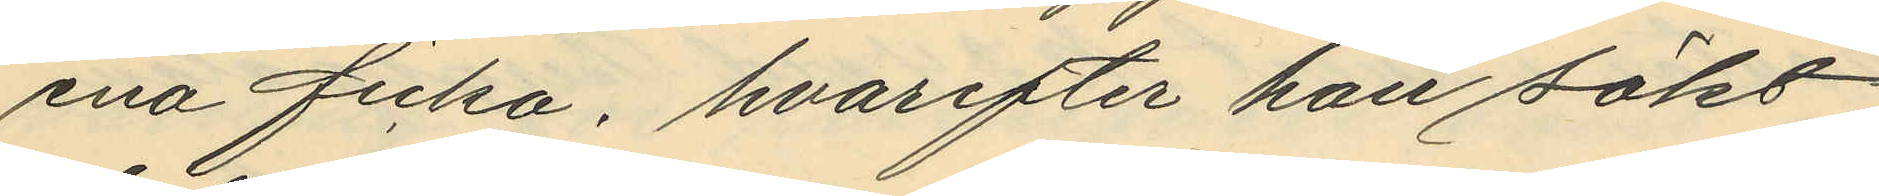ena ficka, hvarefter han sökt
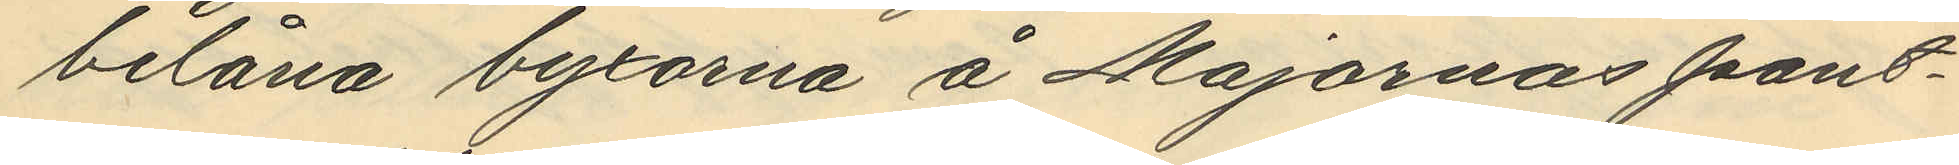belåna byxorna å Majornas pant¬
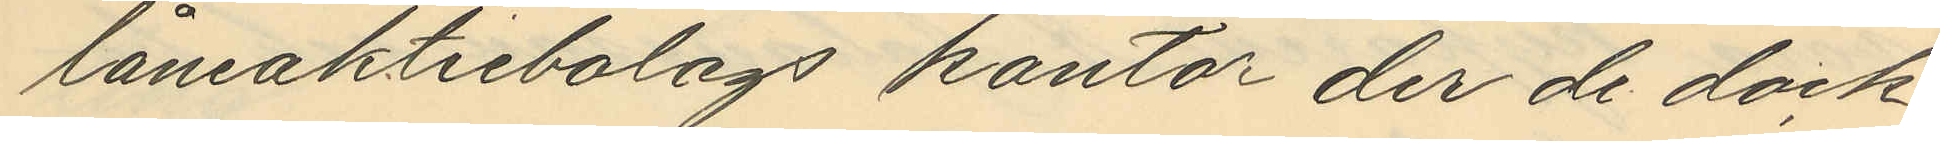låneaktiebolags kontor der de dock
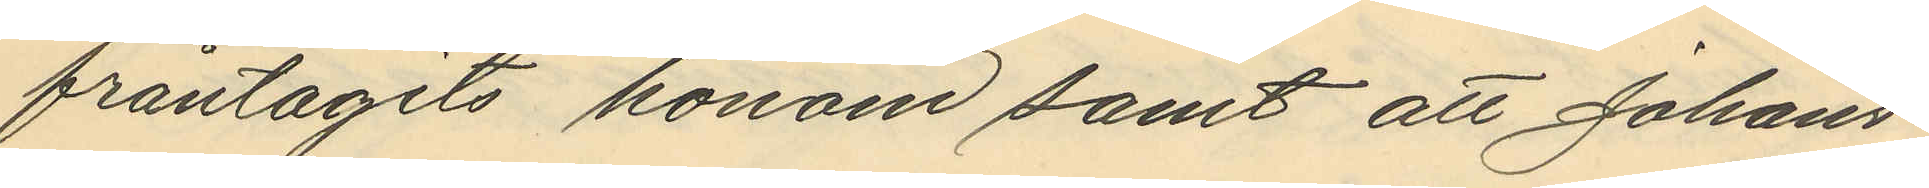fråntagits honom samt att Johans¬
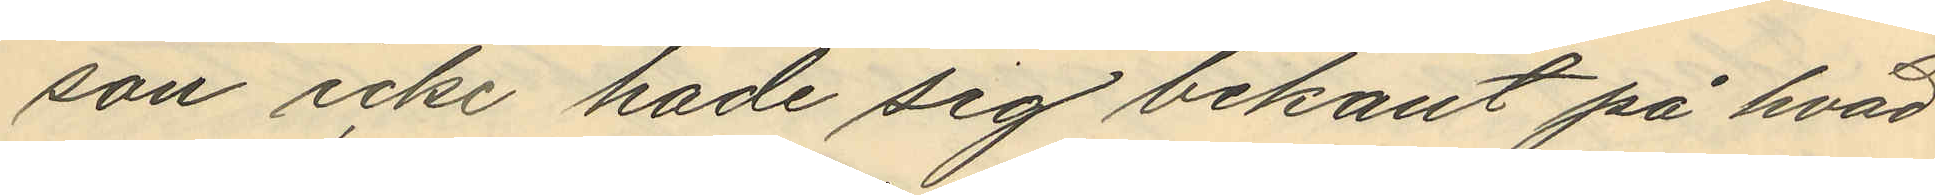son icke hade sig bekant på hvad
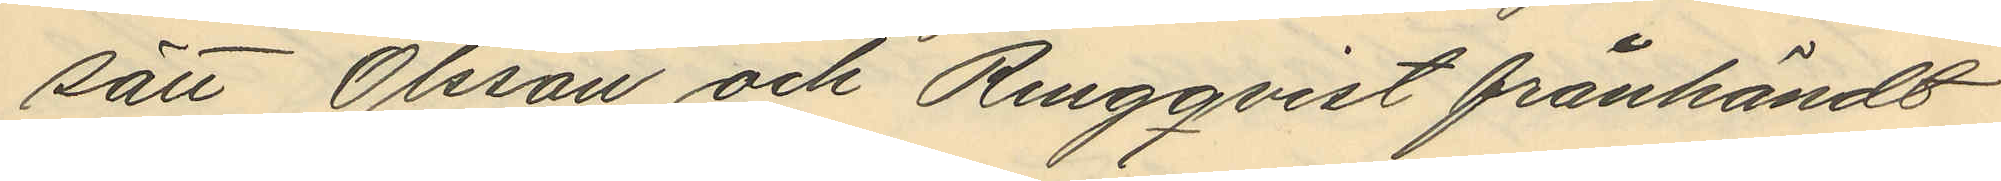sätt Olsson och Ringqvist frånhändt
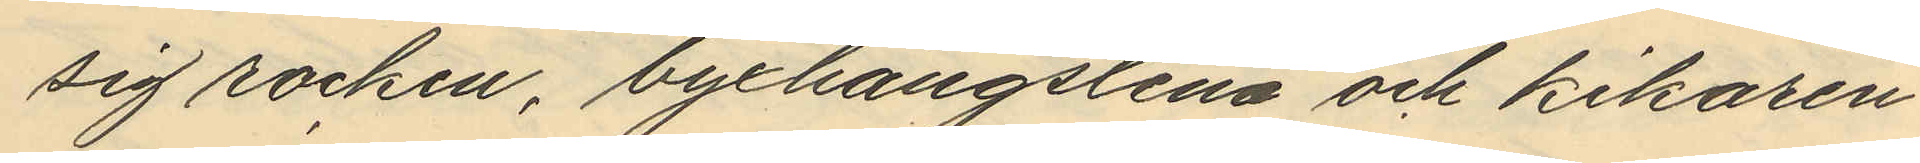sig rocken, byxkängslena och kikaren
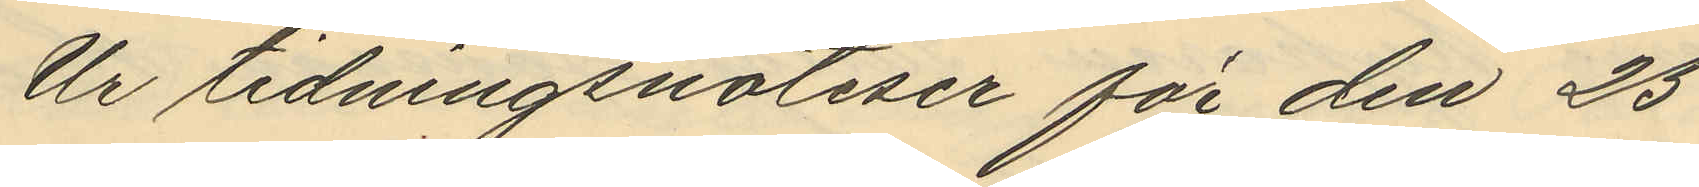Ur tidningsnotiser för den 25
